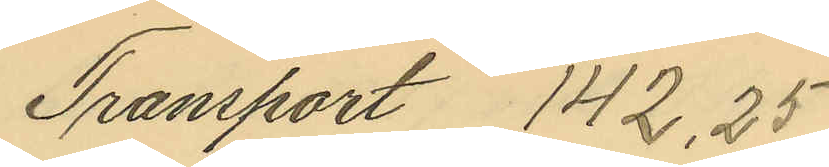Transport 142,25
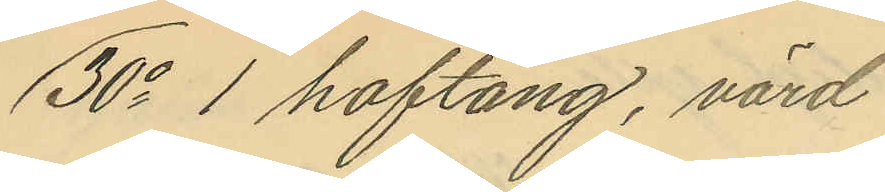30o 1 hoftång, värd
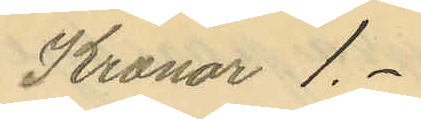Kronor 1.-
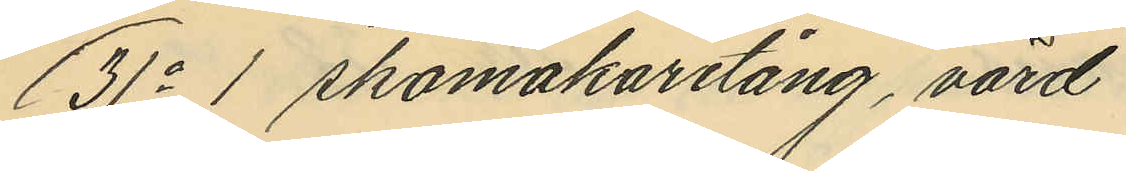31o 1 skomakaretång, värd
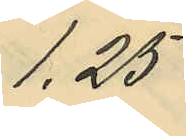1,25
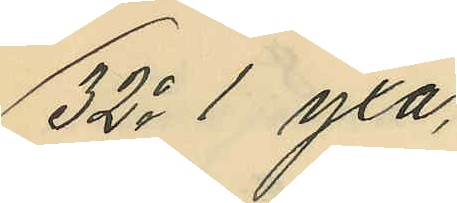32o 1 yxa,
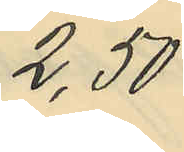2,50
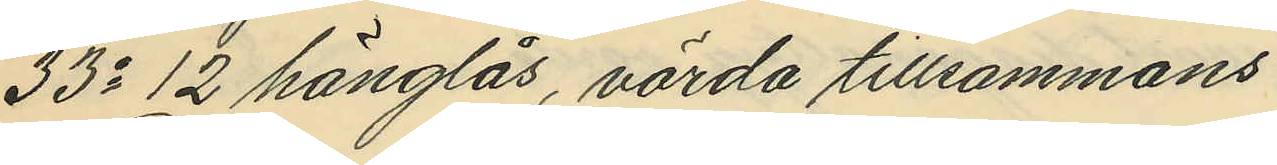33o 12 hänglås, värda tillsammans
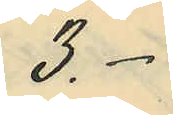3.-
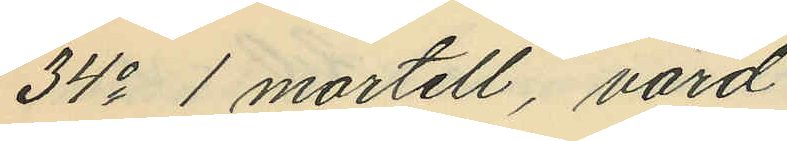34o 1 mortell, värd
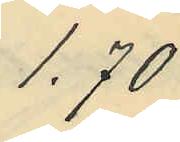1,70
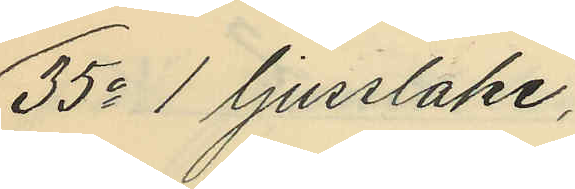35o 1 ljusstake,
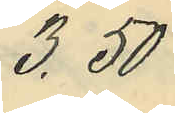3,50
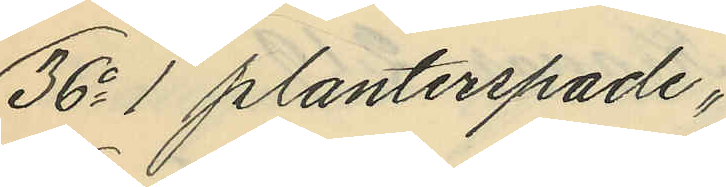36o 1 planterspade,
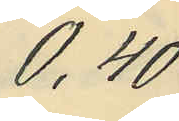0,40
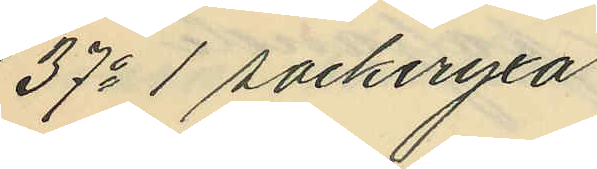37o 1  sockeryxa
